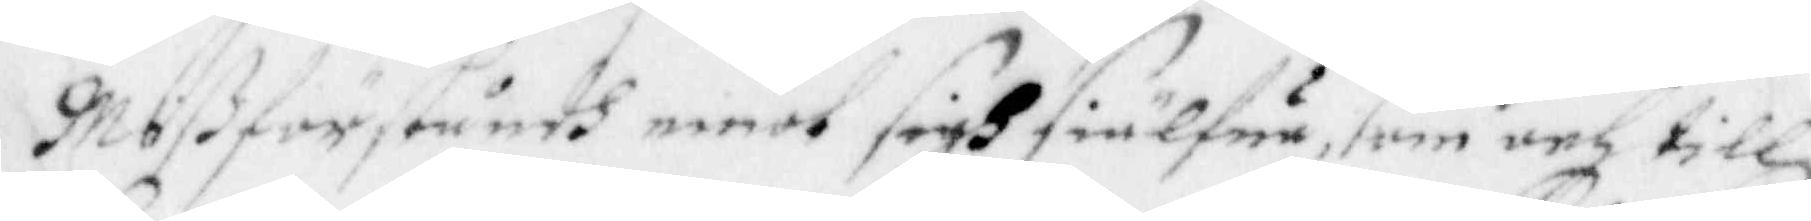Mißförståndh emot Sigh Siälfue, som och till
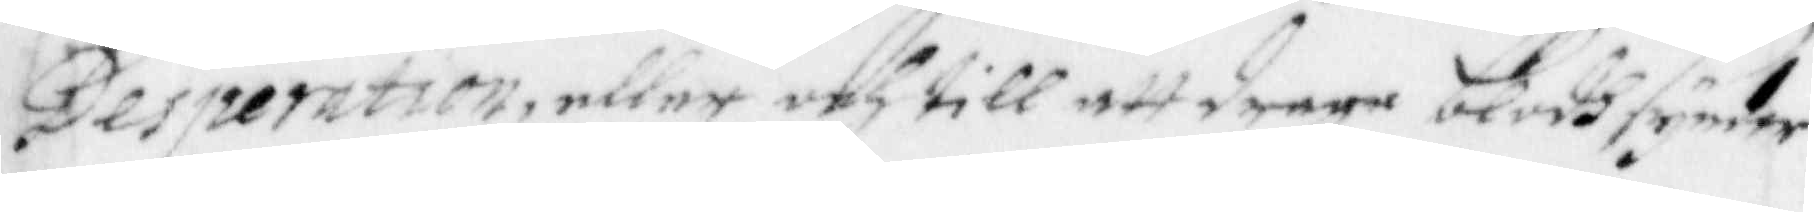Desperation, eller och till att draga Blodhsynder
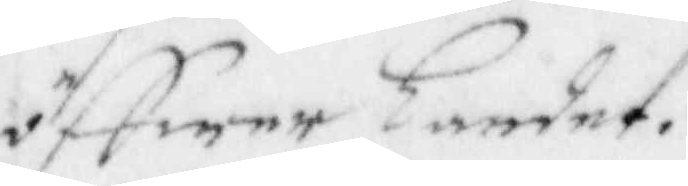öffwer landet.
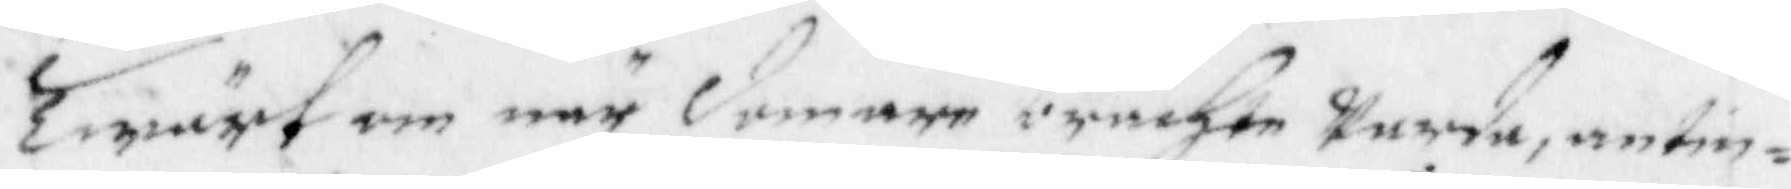Twärt om när domare brachte warda, antin¬
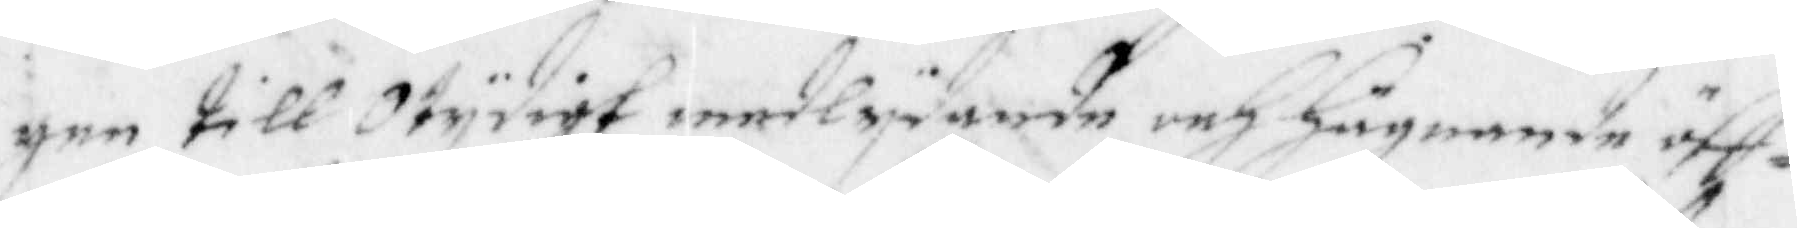gen till Otydigt medlydande och Hägnande öff¬
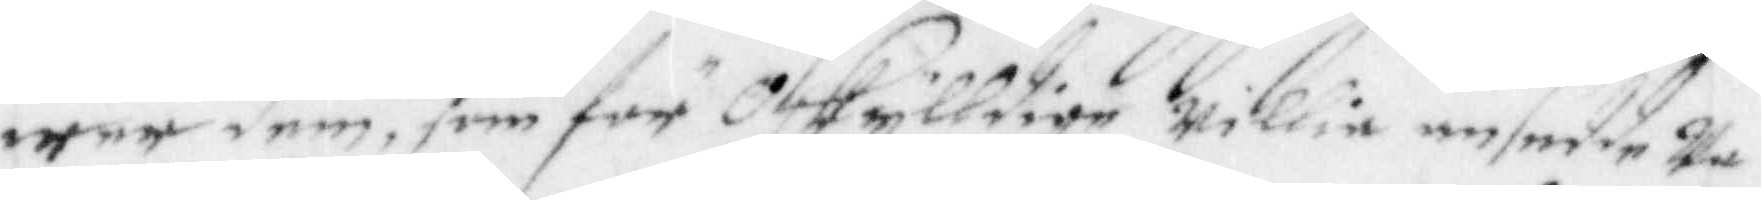wer dem, som för Oskylldige willia ansedde wa¬
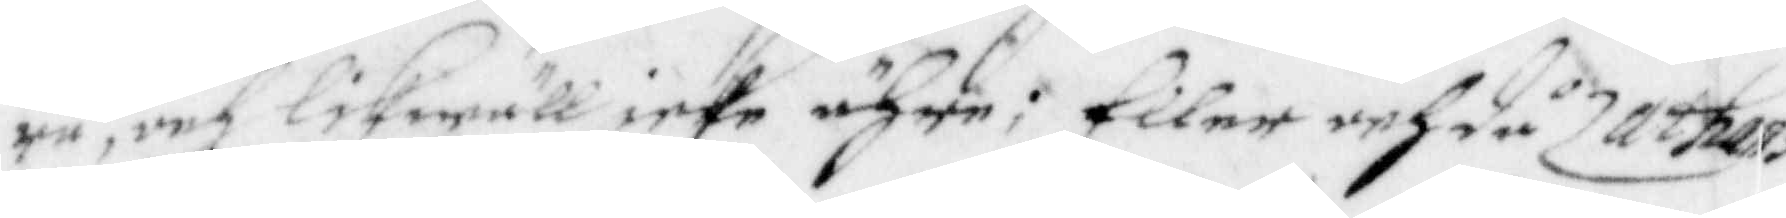ra, och likwäll icke ähre; Eller anhdå Zathans
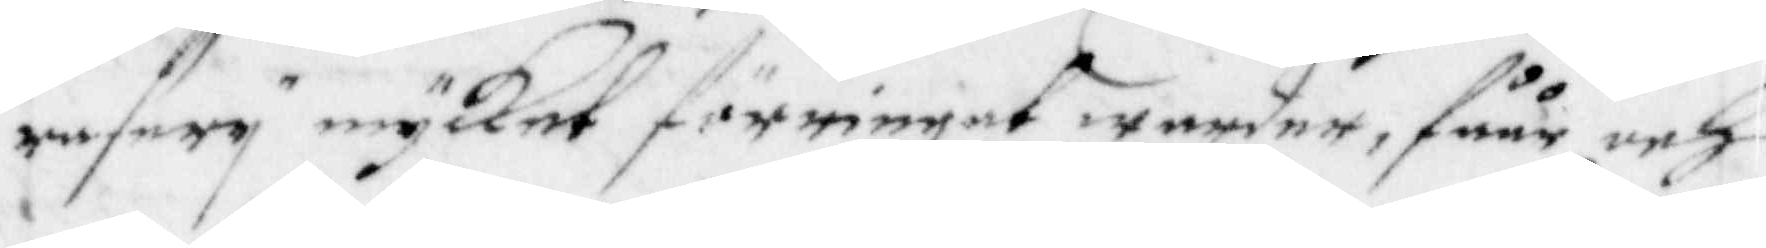rasery mycket förringet warder, fåår och
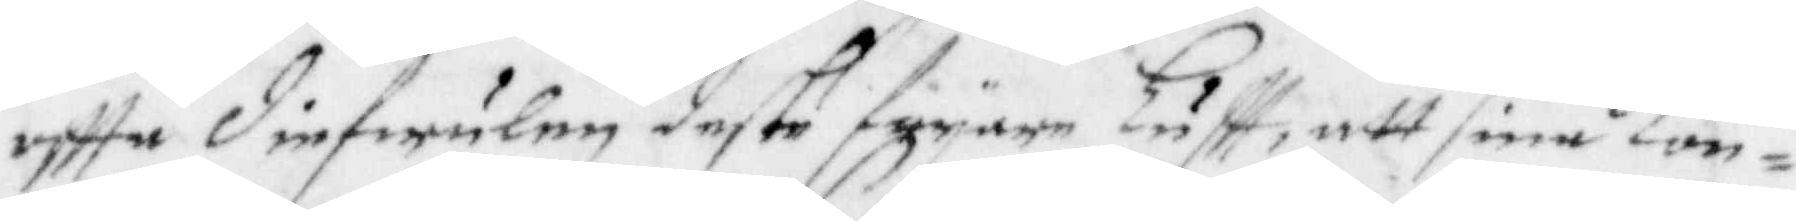offta diefwulen deste fryare Luftt, att sins Kon¬
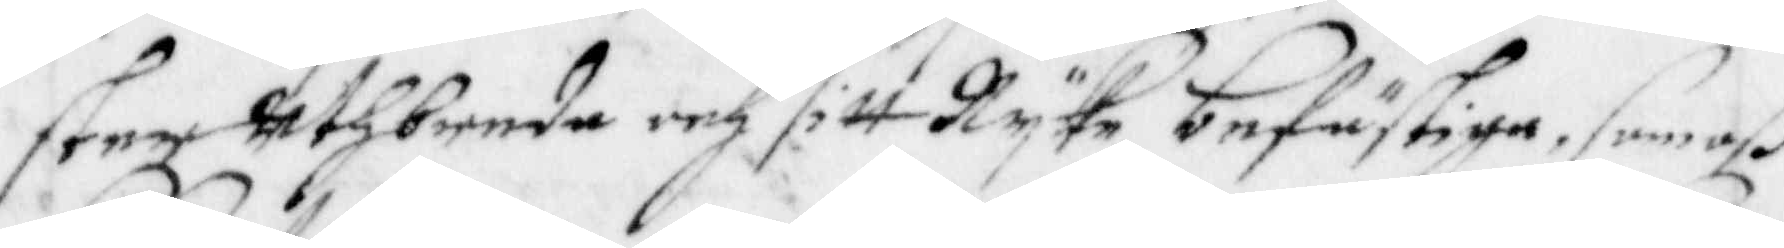ster uthbreda och sitt Ryke befästiga, som oß
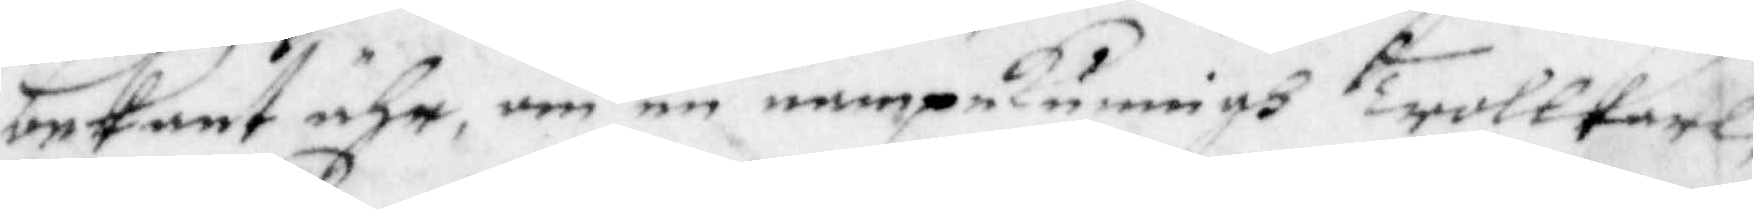bekant ähr, om en nampnkunnigh Trollkarl
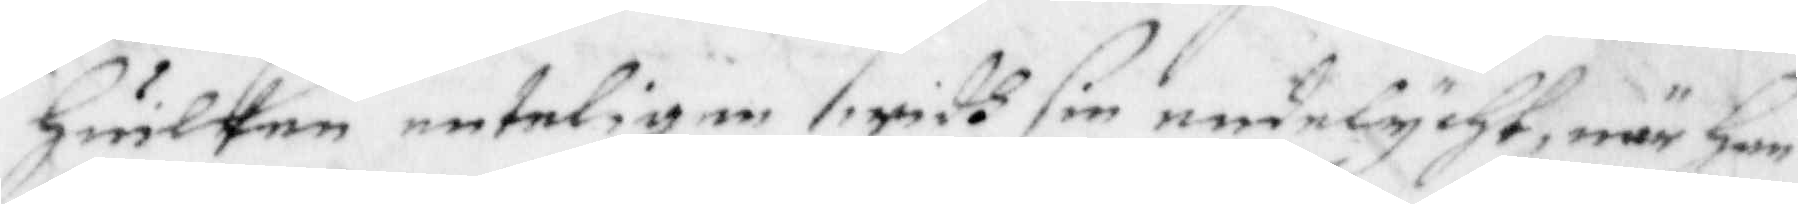Huilken entelihen widh sin endelycht, när ham
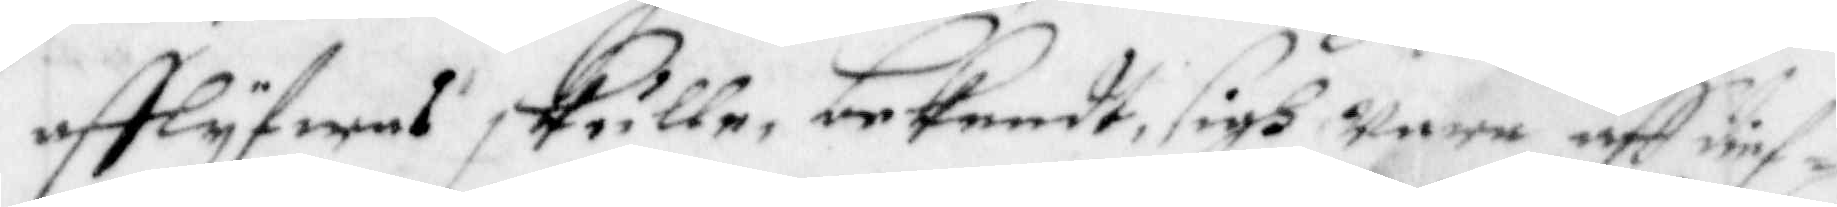afflyfwas skulle, bekendt, sigh wara aff dief¬
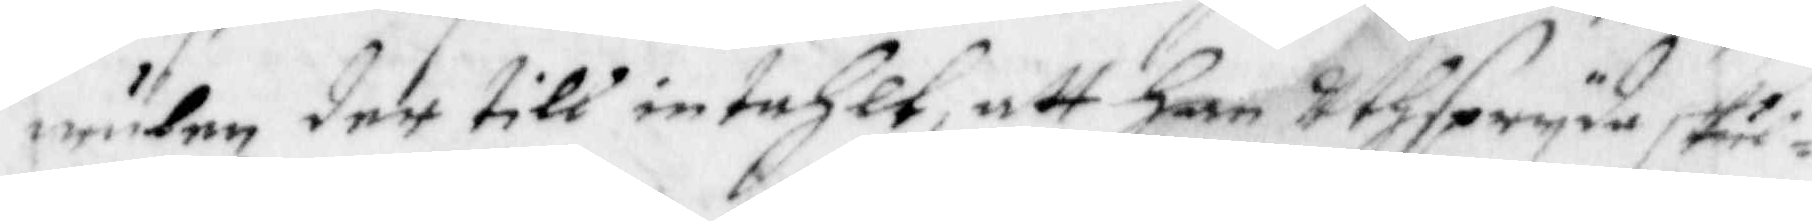wulen der till intahlt, att han Utspryda skul¬
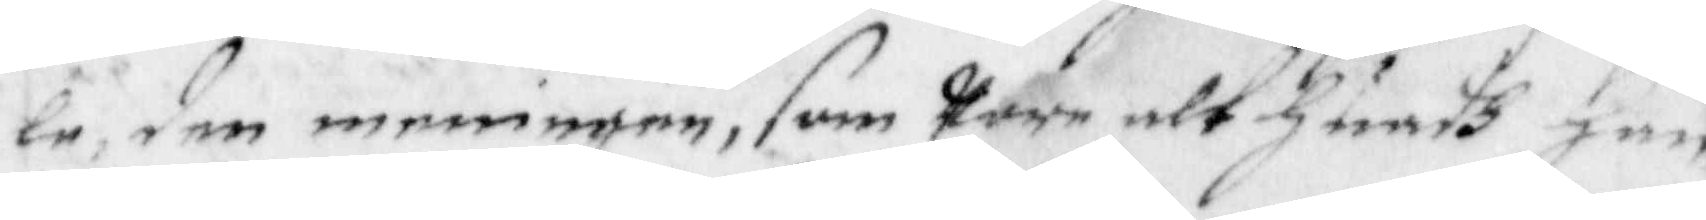le, den meningen, som Ware alt Huadh Han
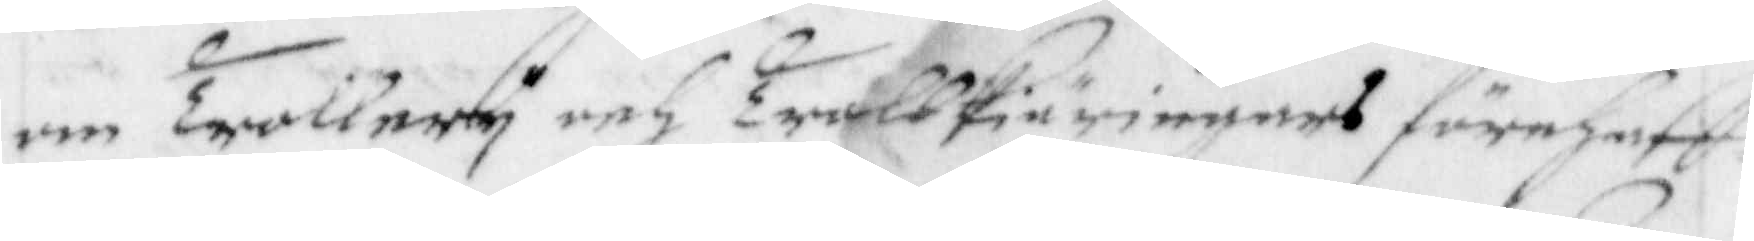om Trollery och Trollkiäringars förehaff¬
